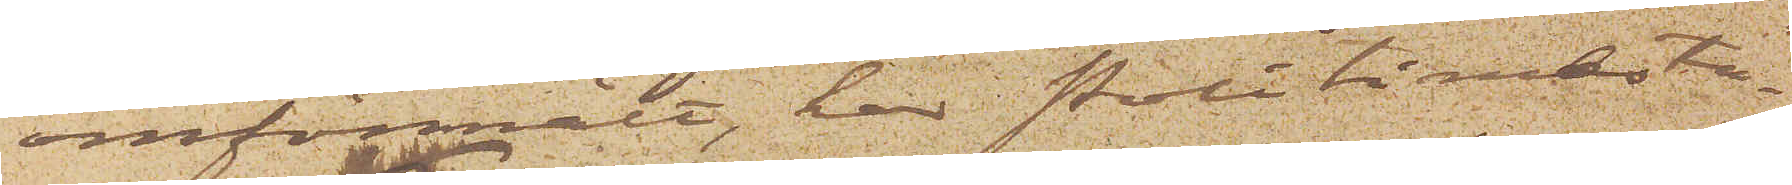omförmält, har Politimesta¬
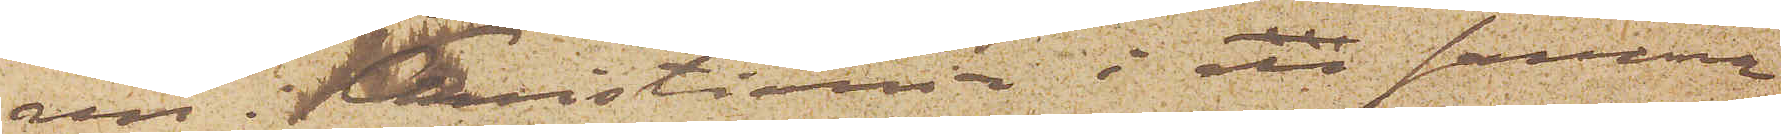ren i Kristiania i en samma
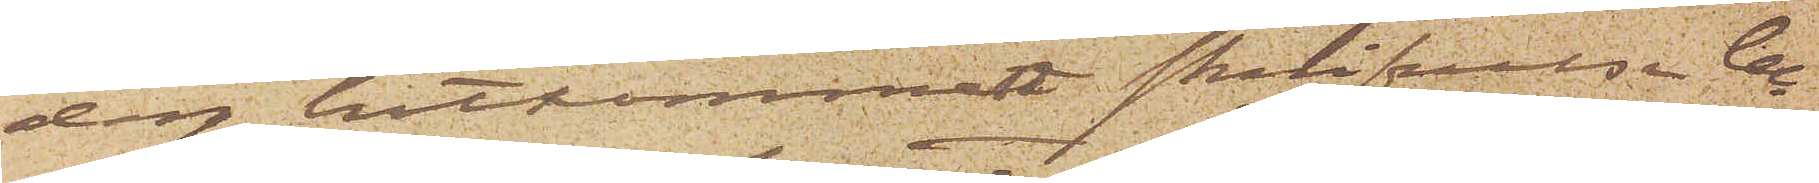dag hitkommen skrifvelse be¬
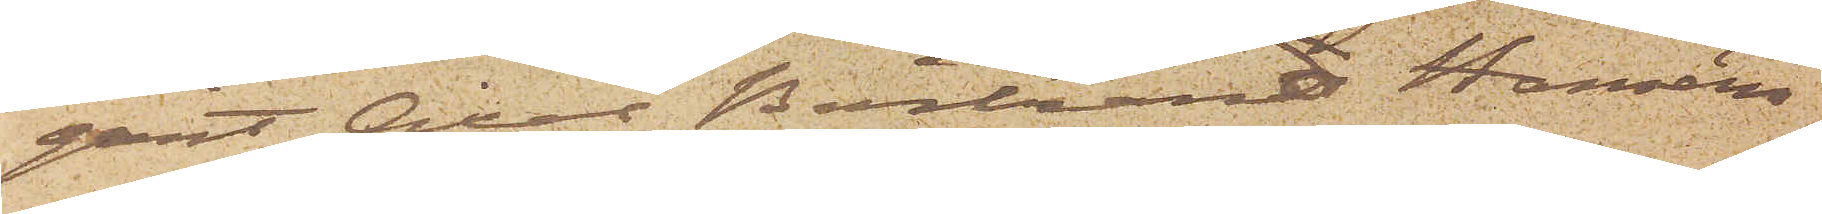gärt Axel Bertrand Hanséns
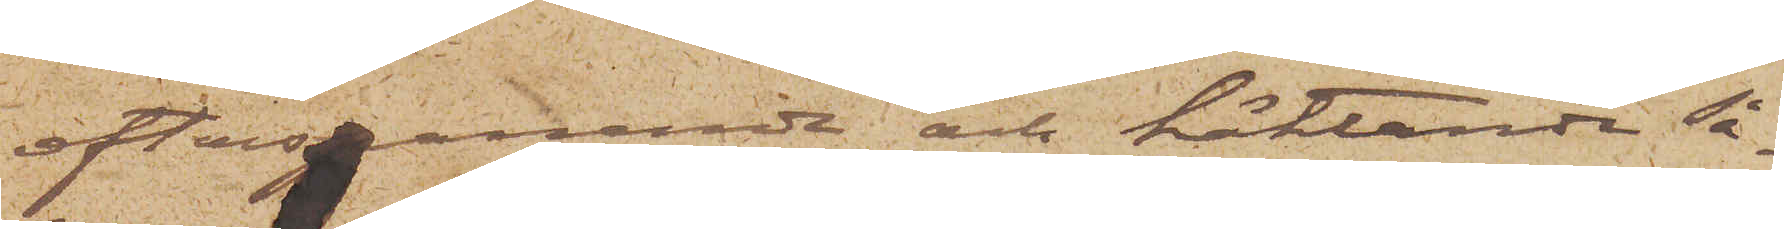efterspanande och häktande så¬
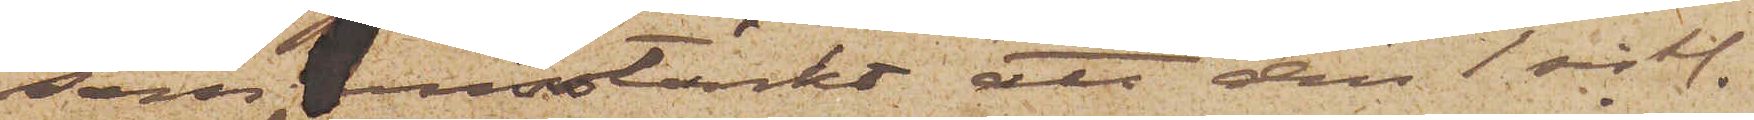som misstänkt att den 1 sistl.
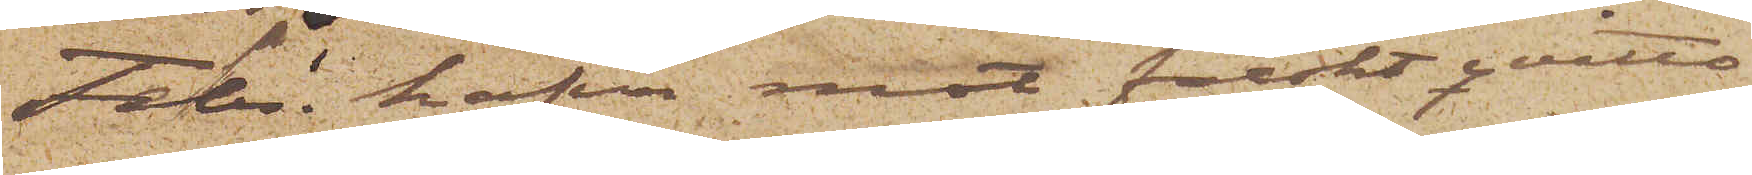Febr. hafva mot falskt qvitto
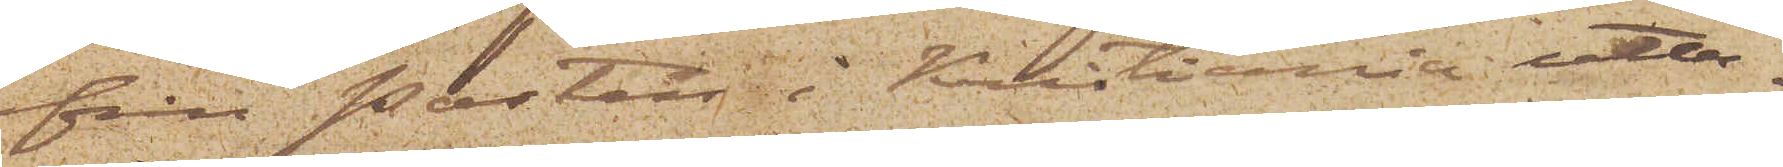från Posten i Kristiania utta¬
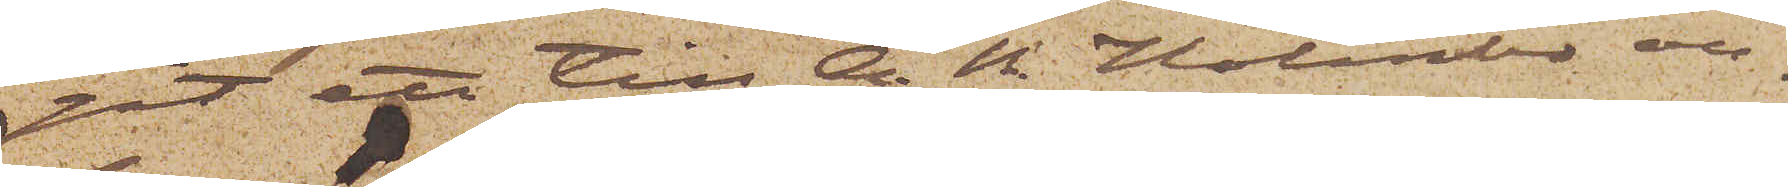git ett till A. N. Holmbo an¬
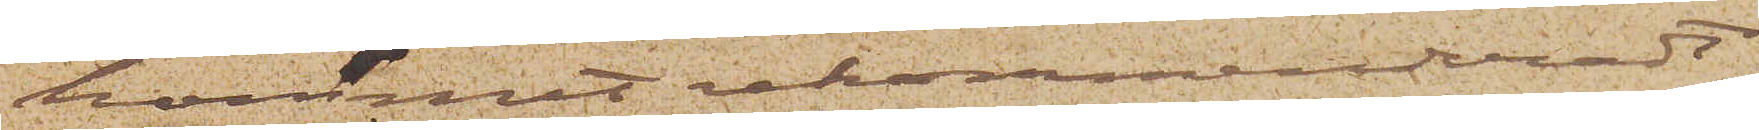kommet rekommenderadt
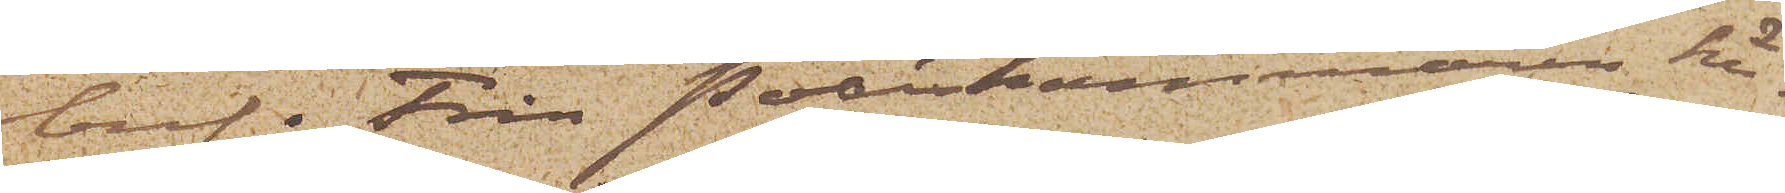bref. Från Poliskammaren här¬
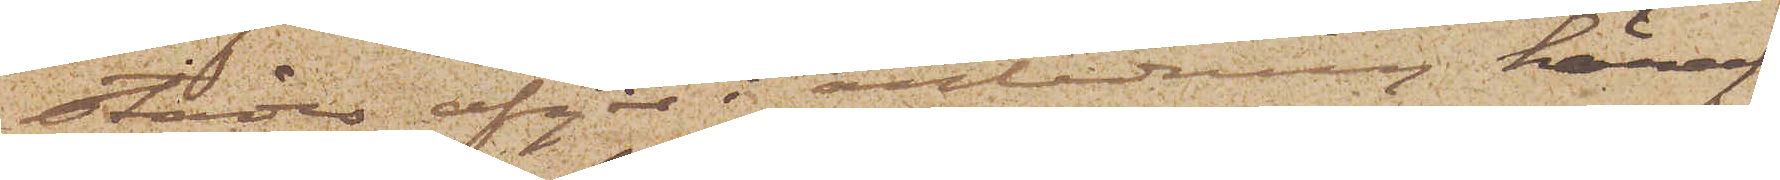städes afgår i anledning häraf
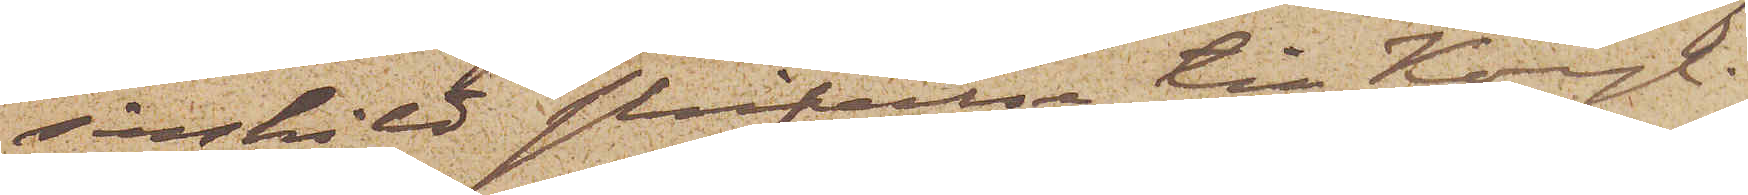särskild skrifvelse till Kongl.
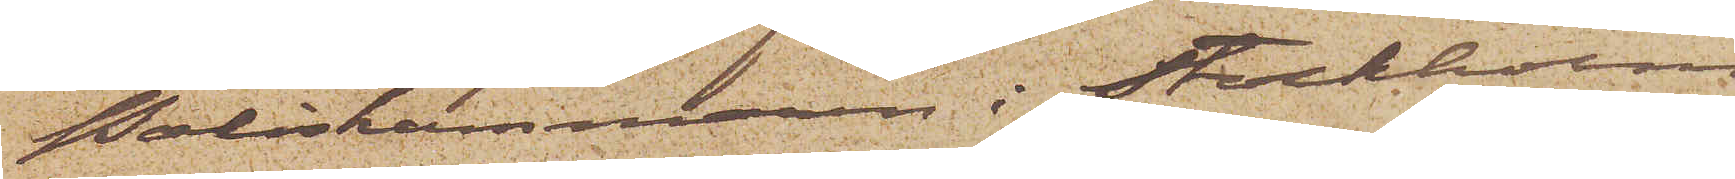Poliskammaren i Stockholm.
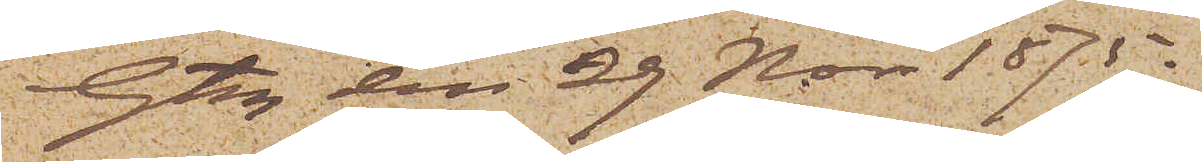Gtbg den 29 Nov. 1875.
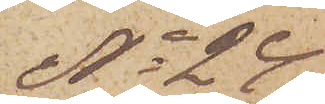No 24
